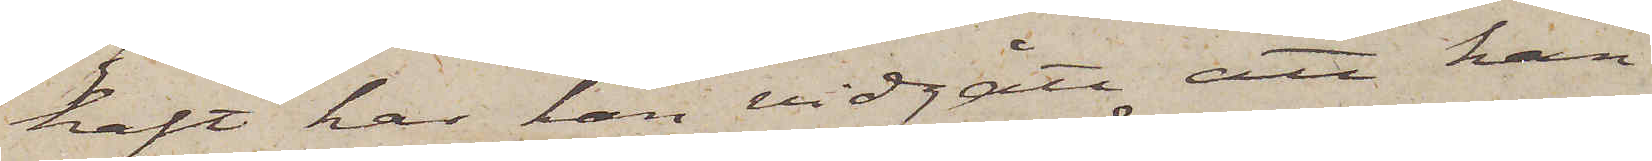haft har han vidgått att han
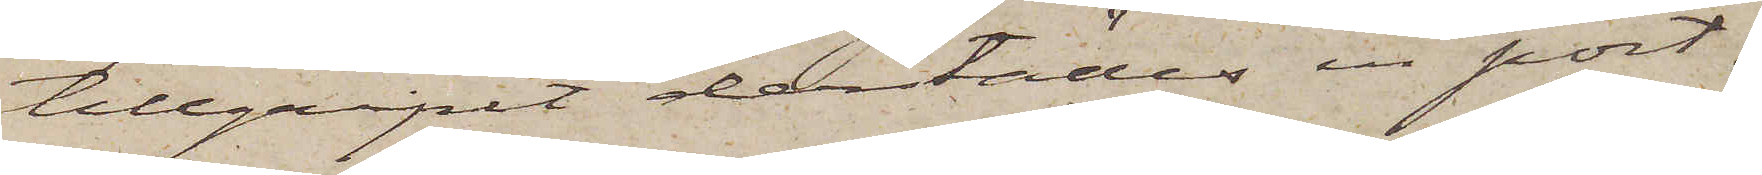tillgripit derstädes en port¬
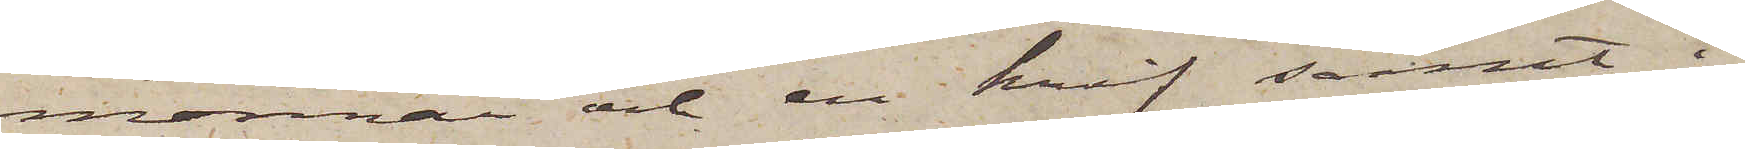monnai och en knif samt i
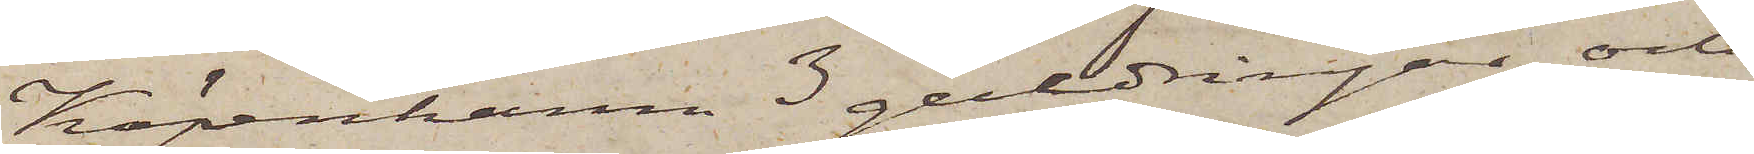Köpenhamn 3 guldringar och
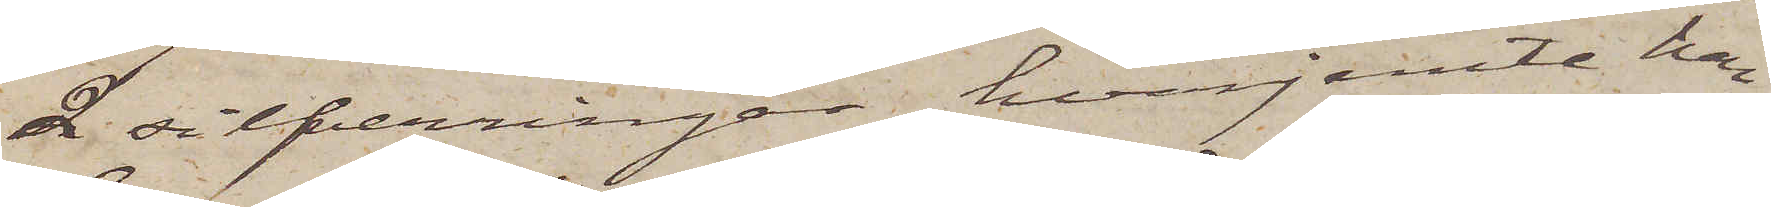2 silfverringar, hvarjemte han
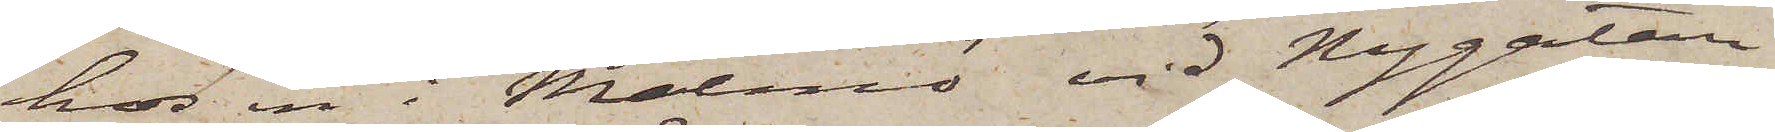hos en i Malmö vid Nygatan
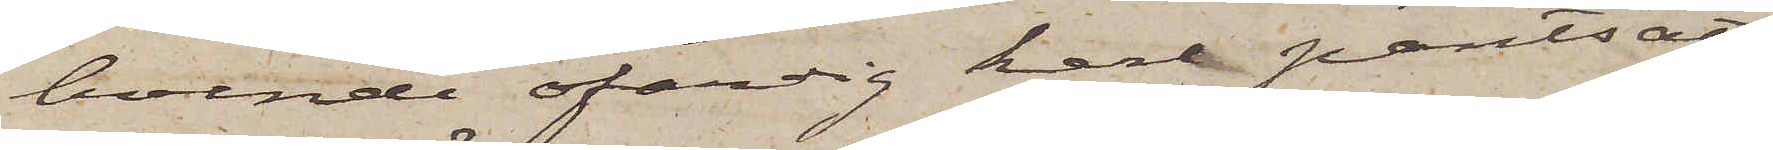boende ofärdig karl pantsatt
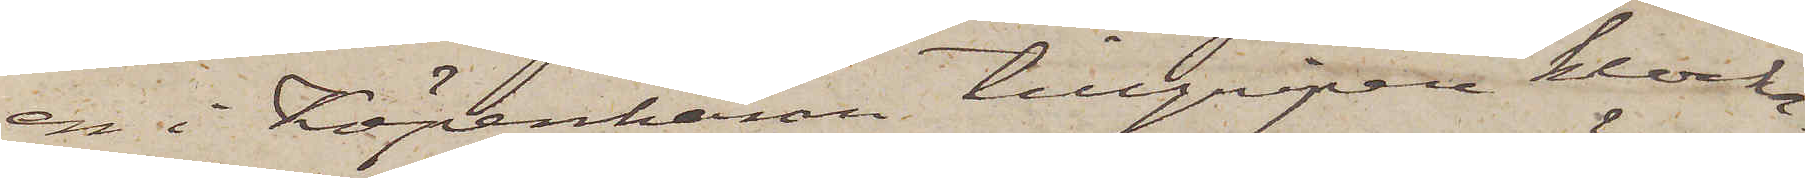en i Köpenhamn tillgripen klocka.
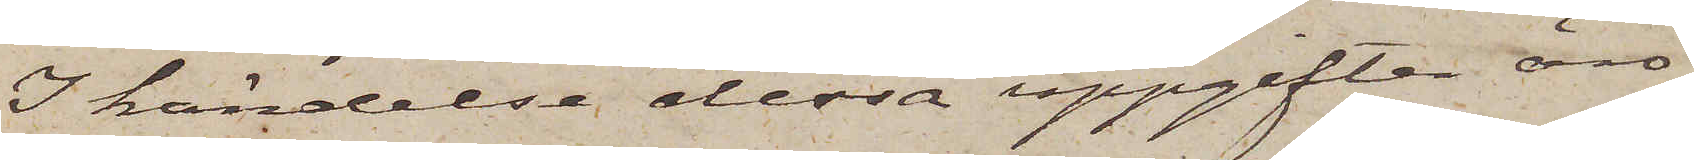I händelse dessa uppgifter äro
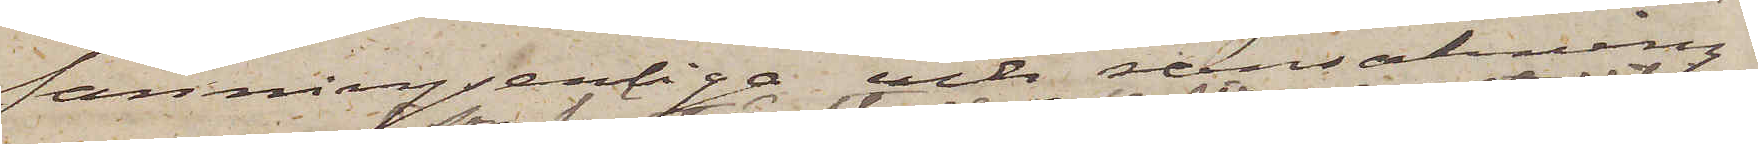sanningsenliga och ransakning
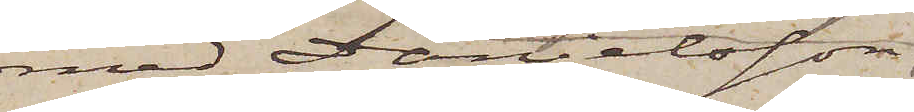med Danielsson,
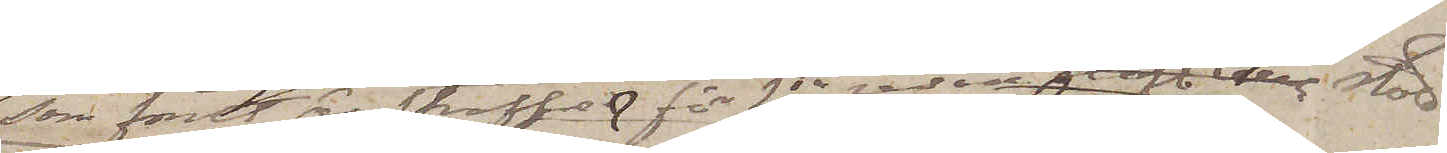som förut är straffad för 2dra resan olofl. till stöld
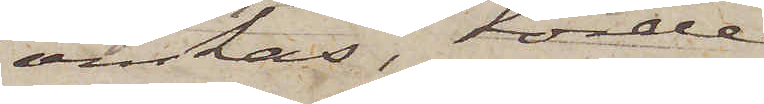önskas, torde
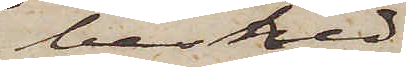besked
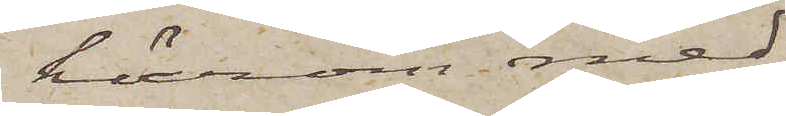härom med
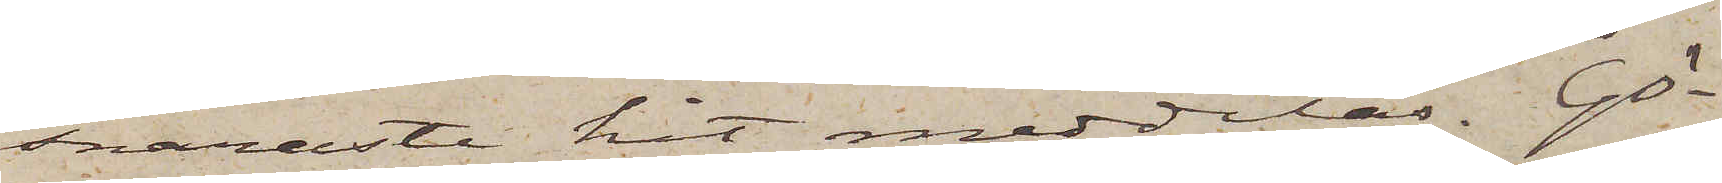snaraste hit meddelas. Gö¬
